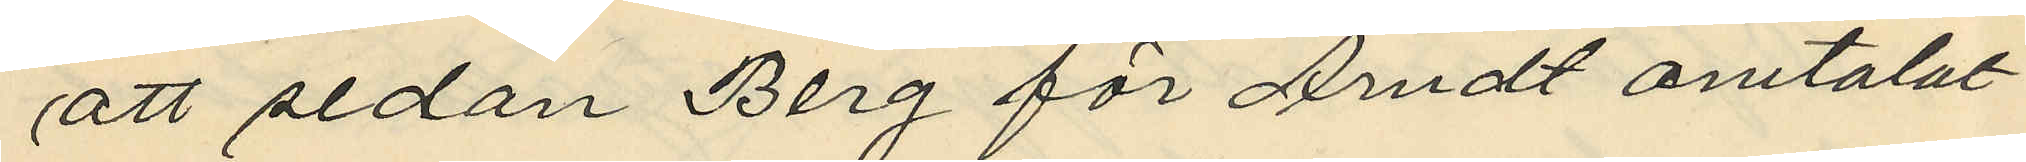att sedan Berg för Arndt omtalat
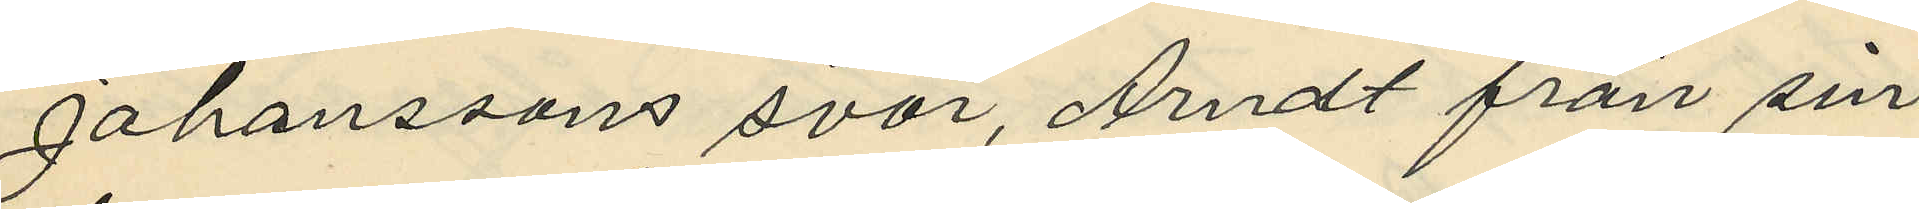Johanssons svar, Arndt från sin
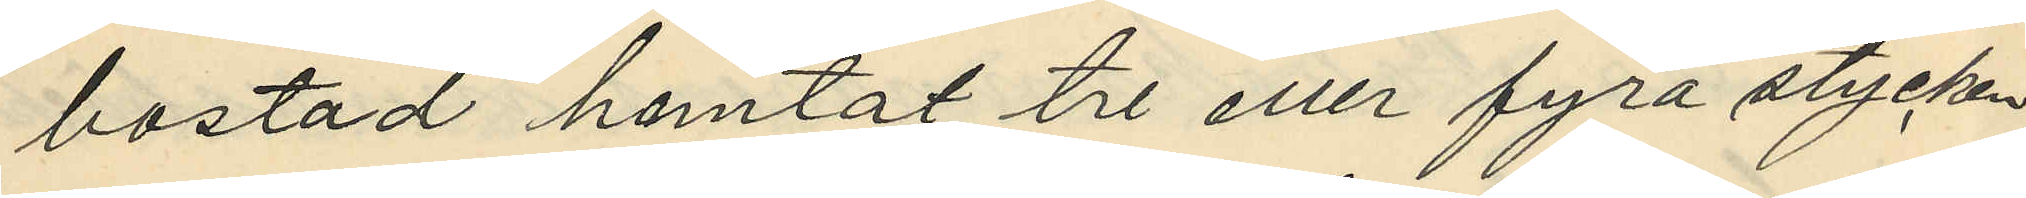bostad hemtat tre eller fyra stycken
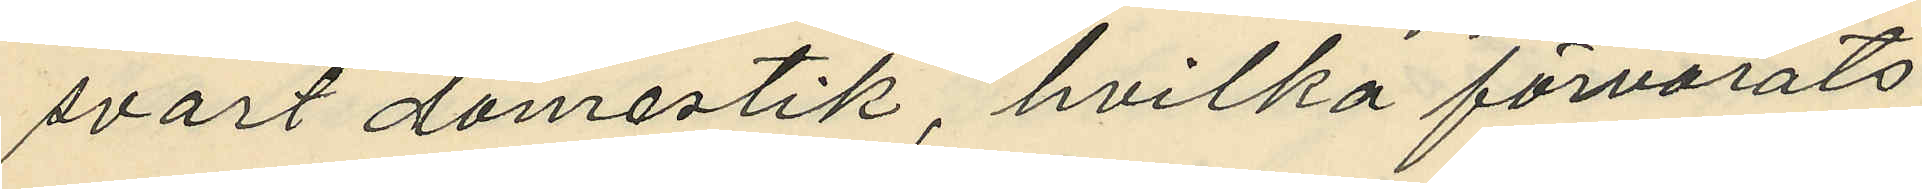svart domestik, hvilka förvarats
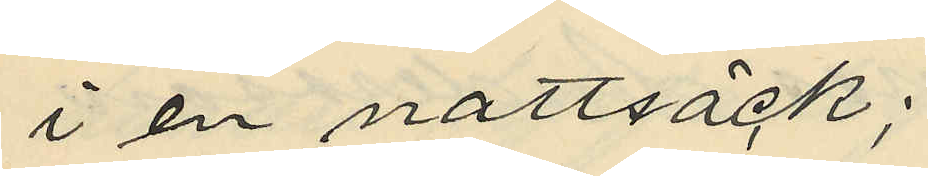i en nattsäck;
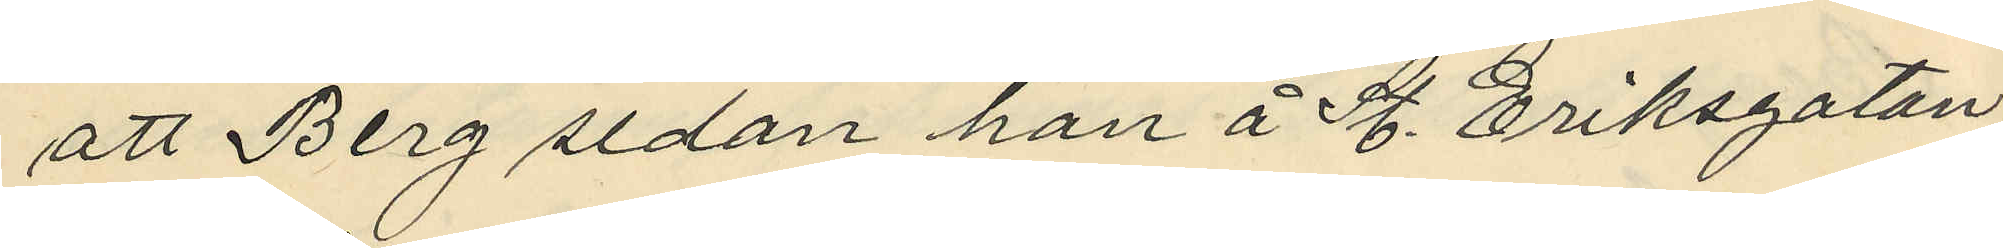att Berg sedan han å St. Eriksgatan
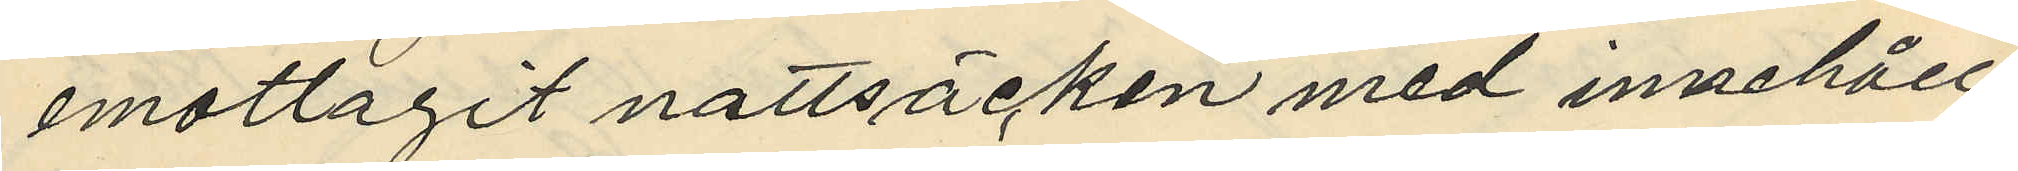emottagit nattsäcken med innehåll
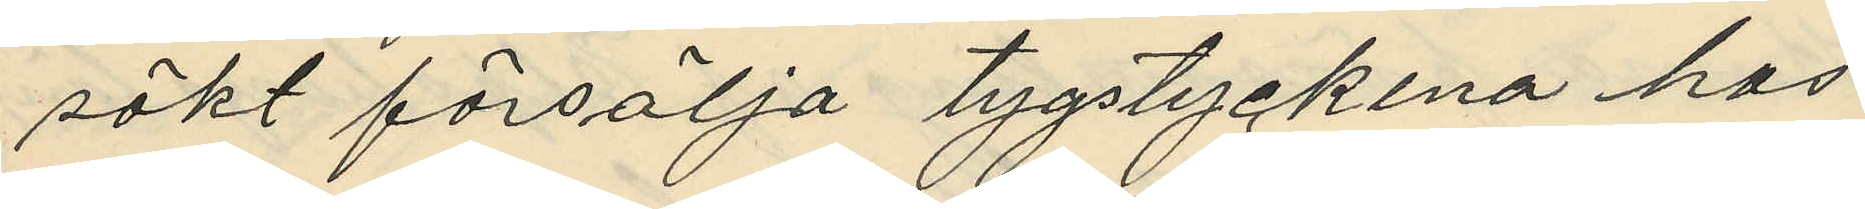sökt försälja tygstyckena hos
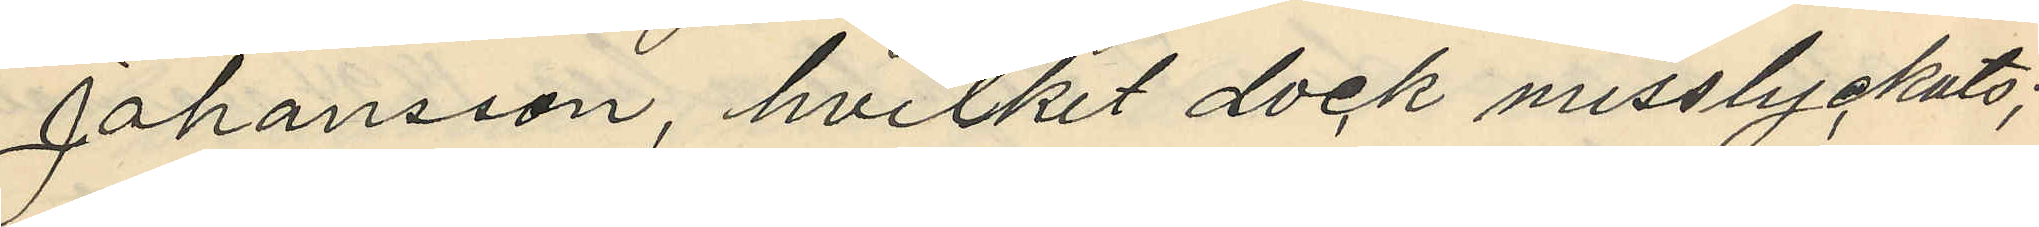Johansson, hvilket dock misslyckats;
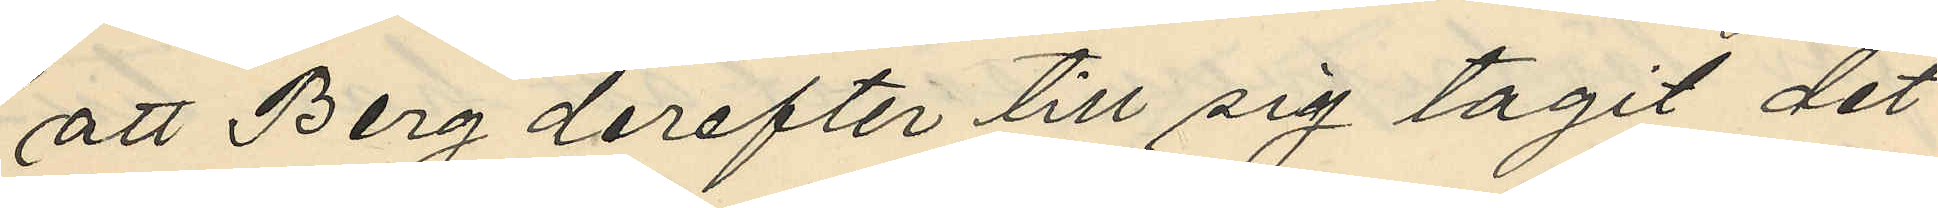att Berg derefter till sig tagit det
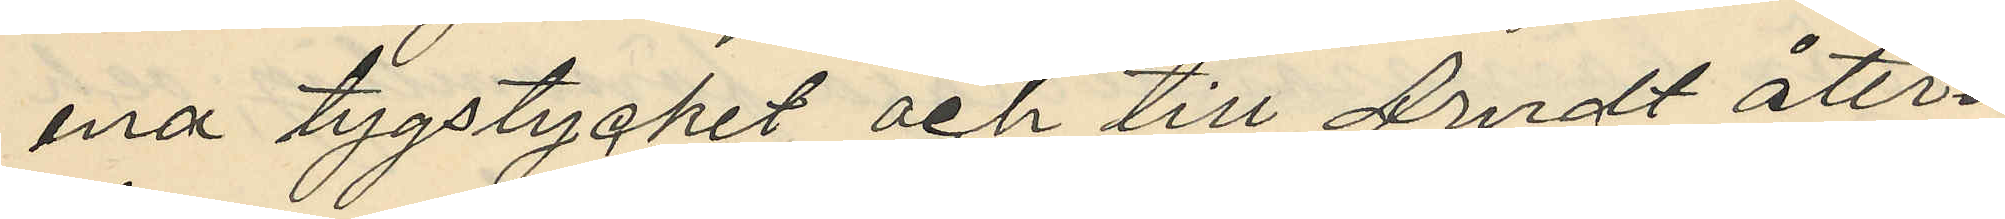ena tygstycket och till Arndt åter¬
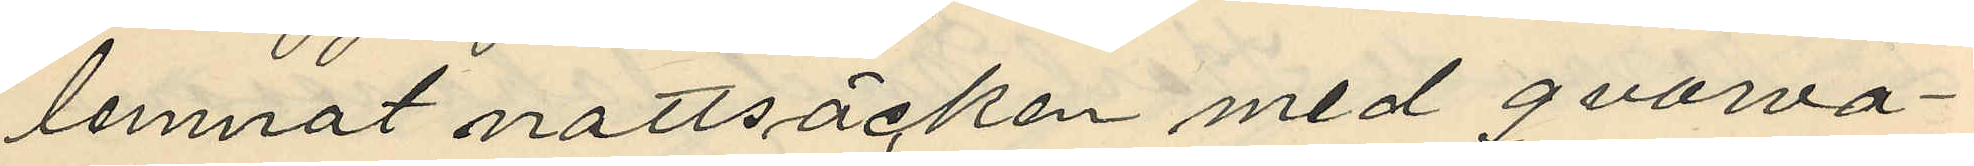lemnat nattsäcken med qvarva¬
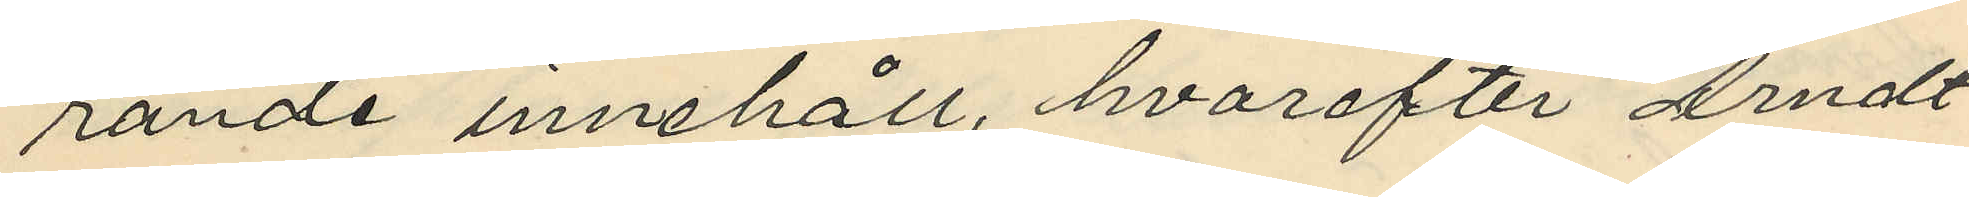rande innehåll, hvarefter Arndt
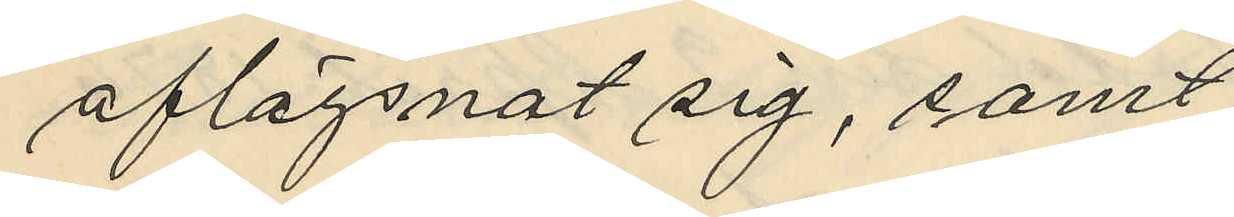aflägsnat sig, samt
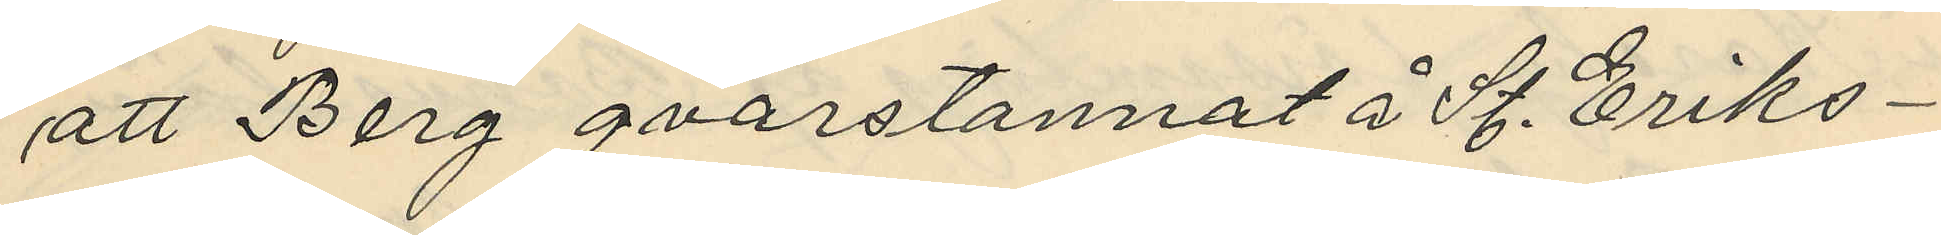att Berg qvarstannat å St. Eriks¬
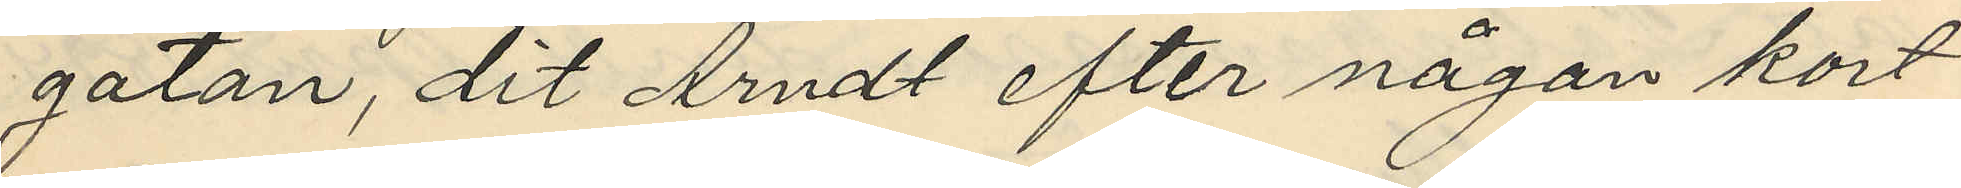gatan, dit Arndt efter någon kort
